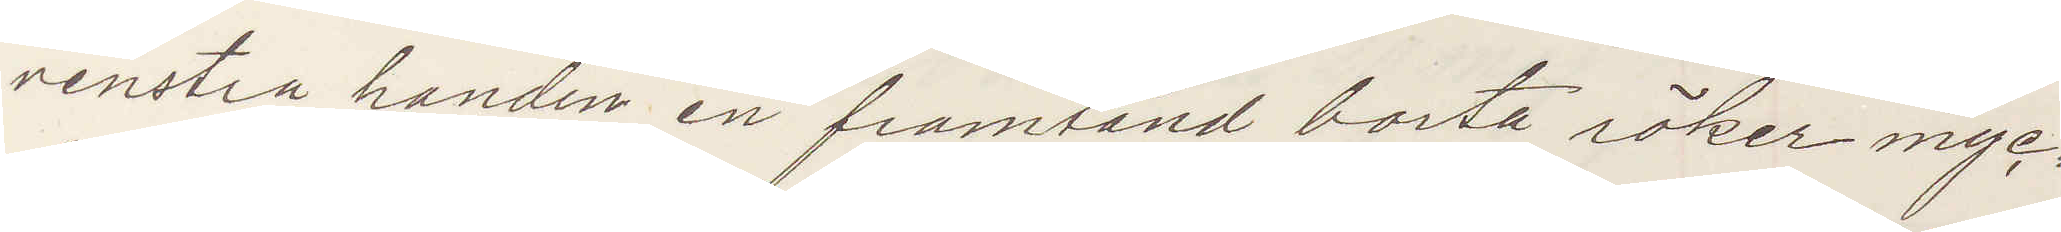venstra handen en framtand borta, röker myc¬
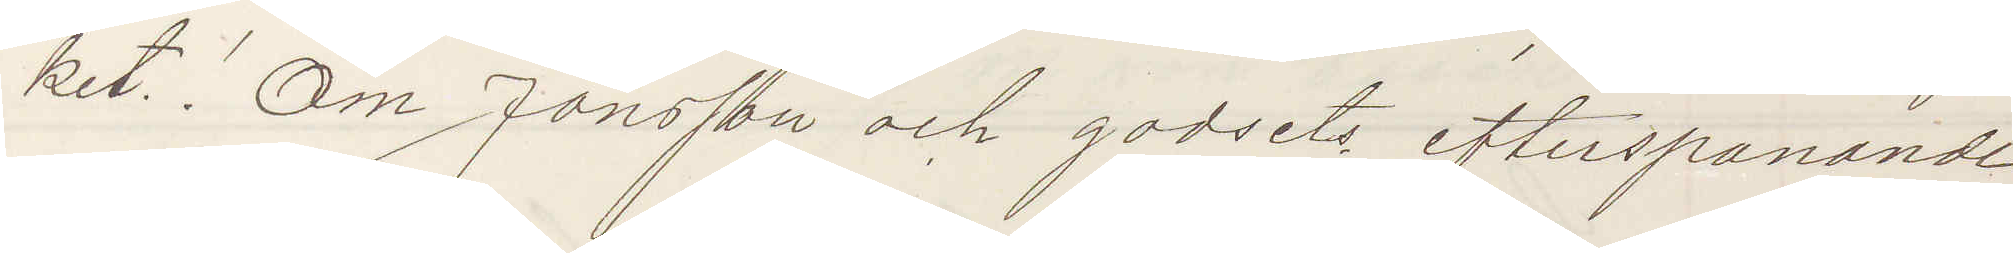ket! Om Jonsson och godsets efterspanande
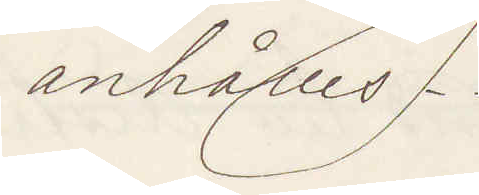anhålles.
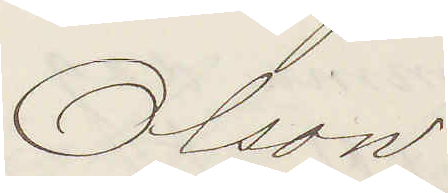Olson
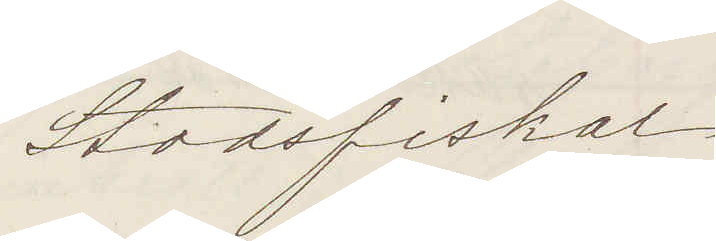Stadsfiskal
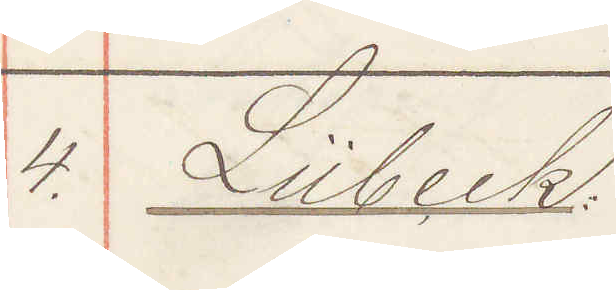4. Lübeck
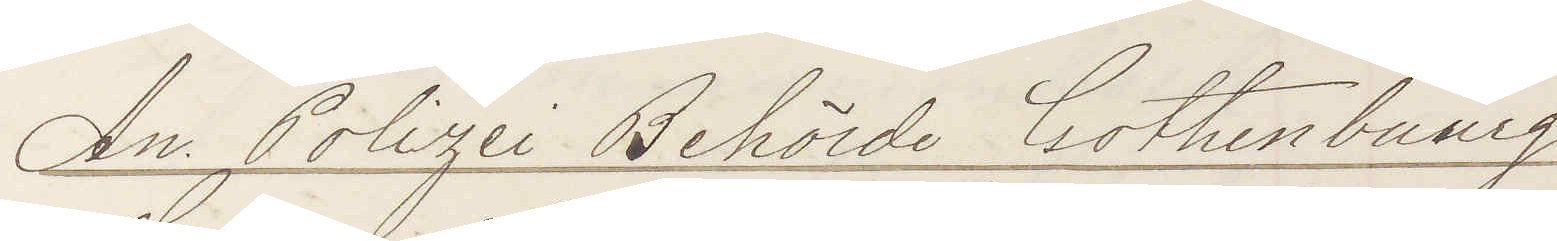An Polizei Behörde Gothenbourg.
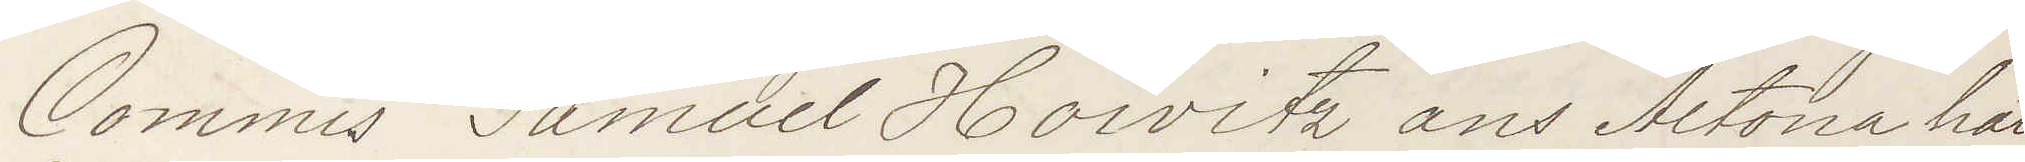Commis Samuel Horvitz ans Altona hat
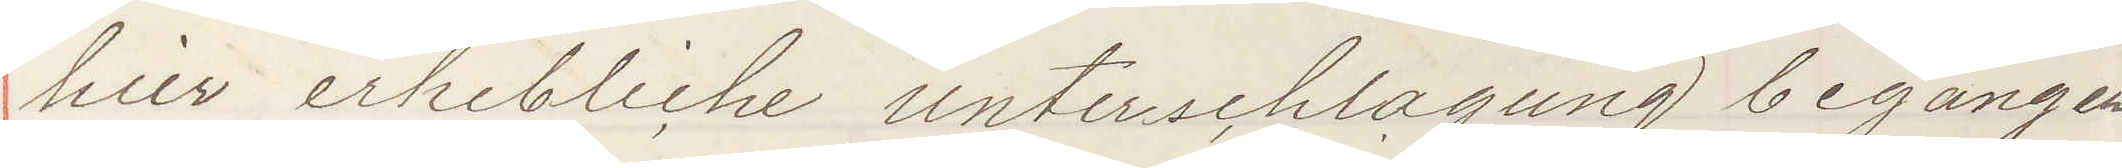hier erhebliche unterschlagung begangen
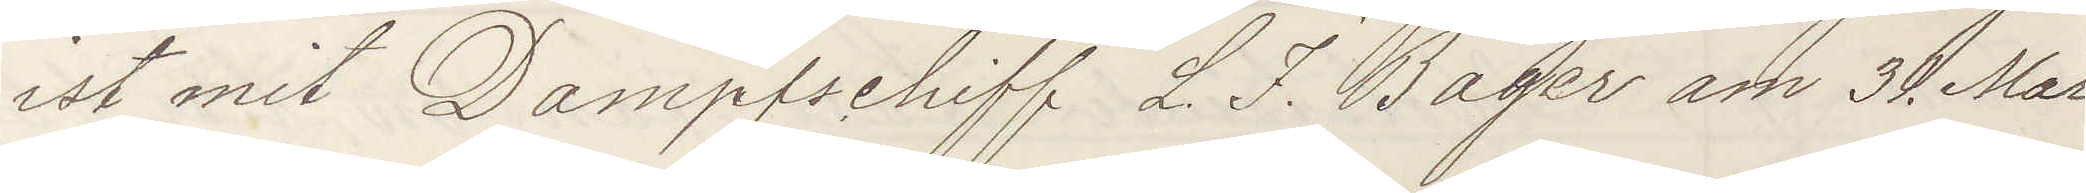ist mit Dampschifff L. J. Bager am 31 Mai
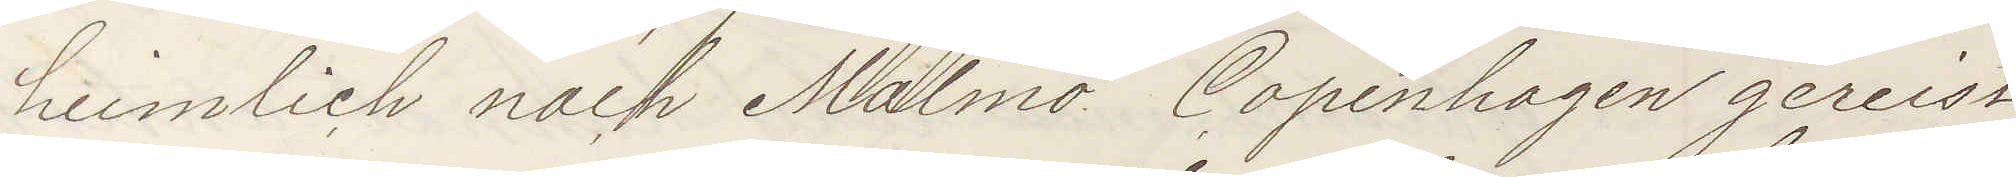heimlich nach Malmo Copenhagen gereist
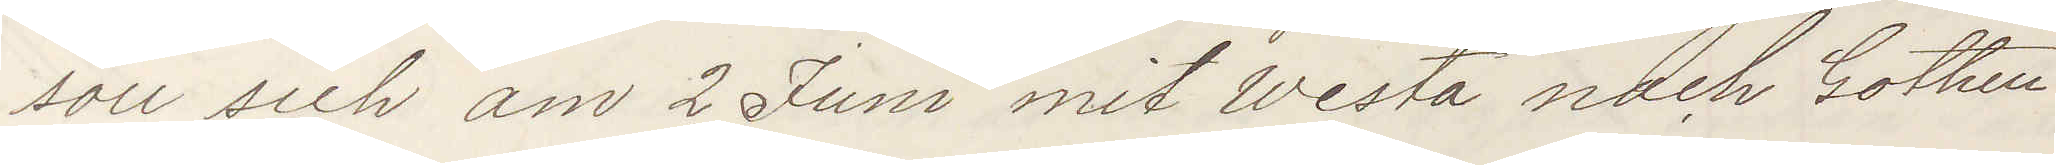soll sich am 2 Juni mit Westa nach Gothen¬
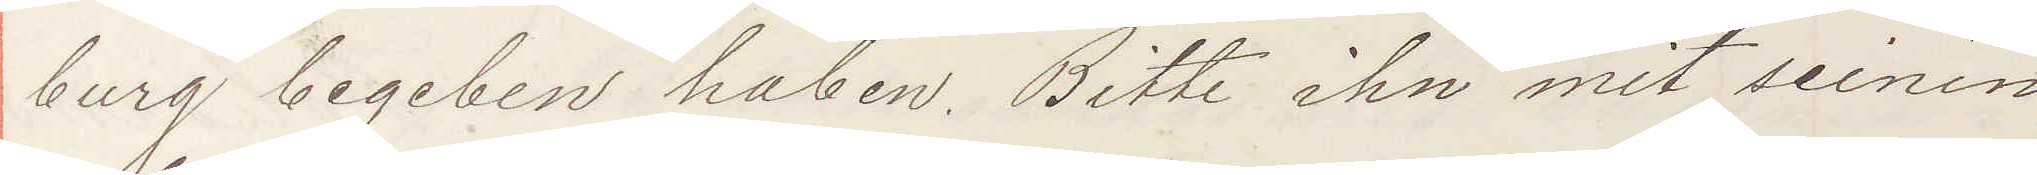burg begeben haben. Bitte ihn mit seinen
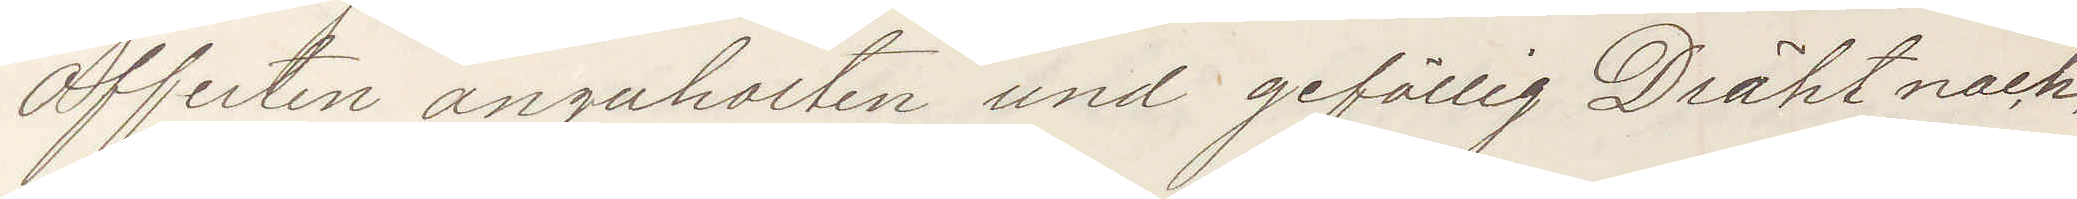Offerten anzuholten und gefällig Dräht nach¬
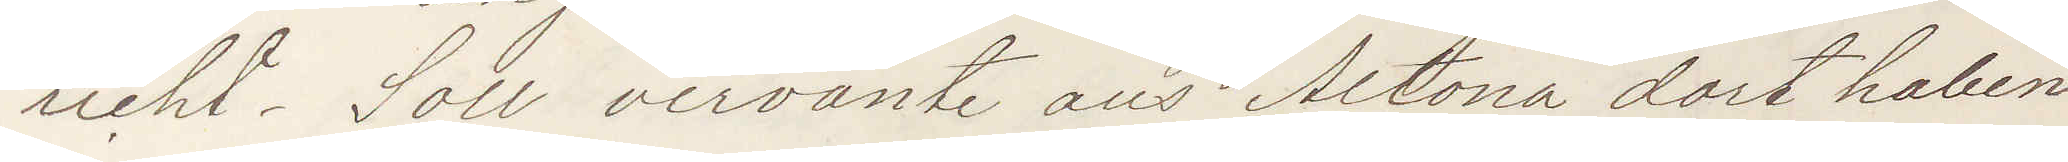richt. Soll vervante aus Altona dort haben
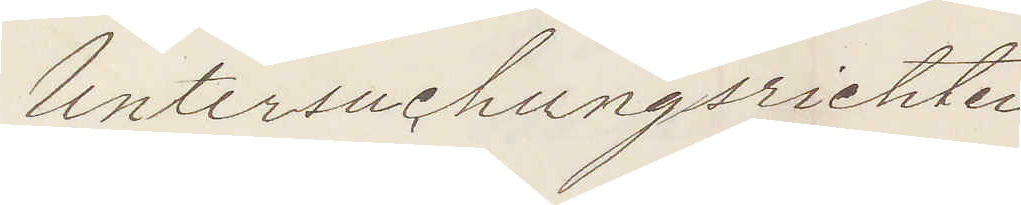Untersuchungsrichter
